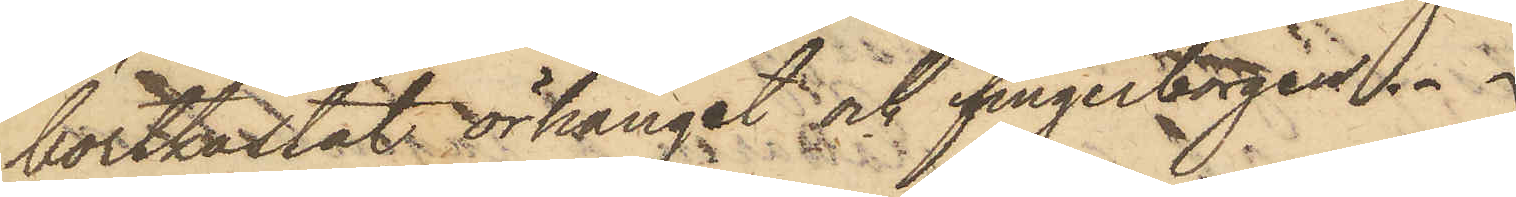bortkastat örhänget och fingerborgen.
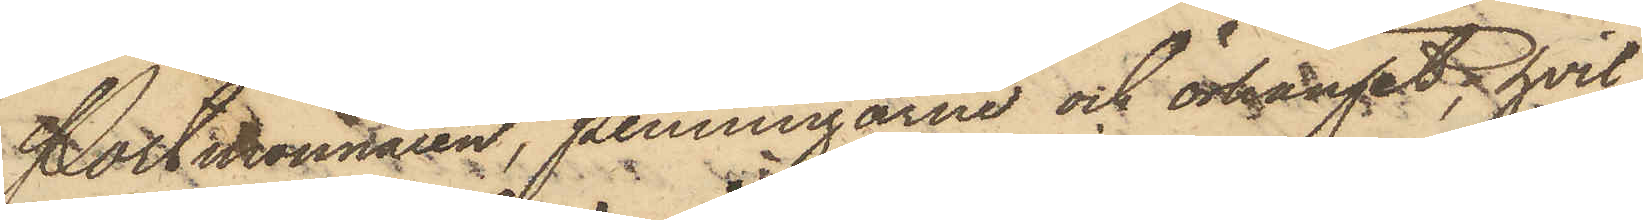Portmonnaien, penningarne och örhänget, hvil¬
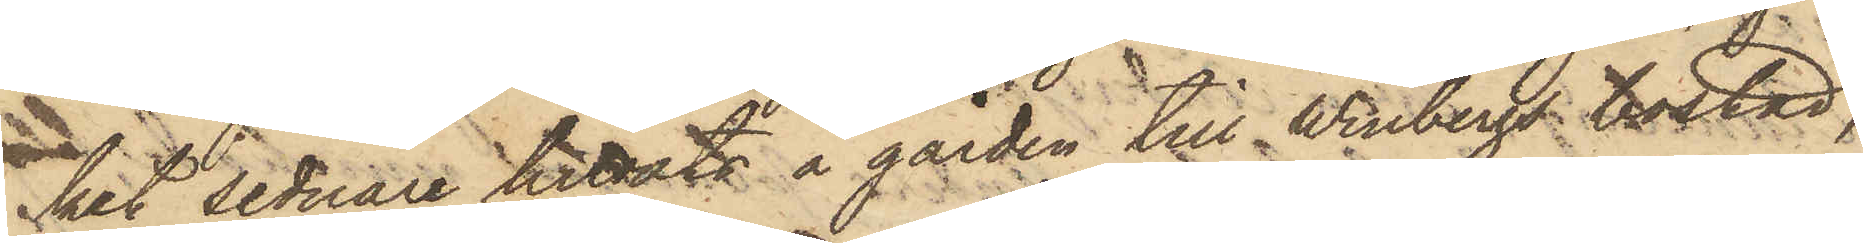ket sednare hittats å gården till Winbergs bostad,
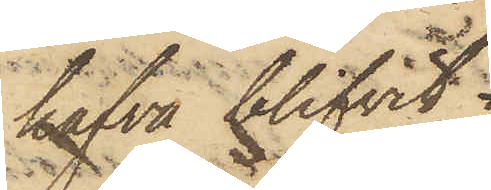hafva blifvit
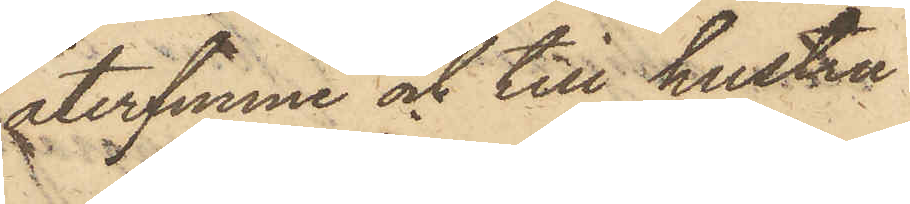återfunne och till hustru
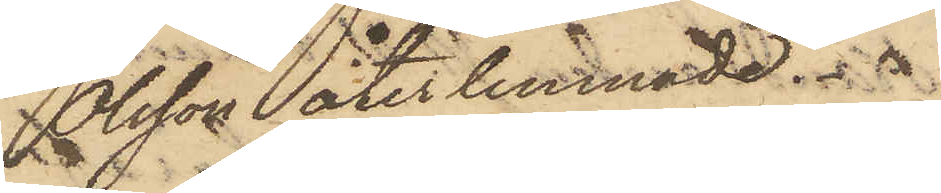Olsson återlemnade.
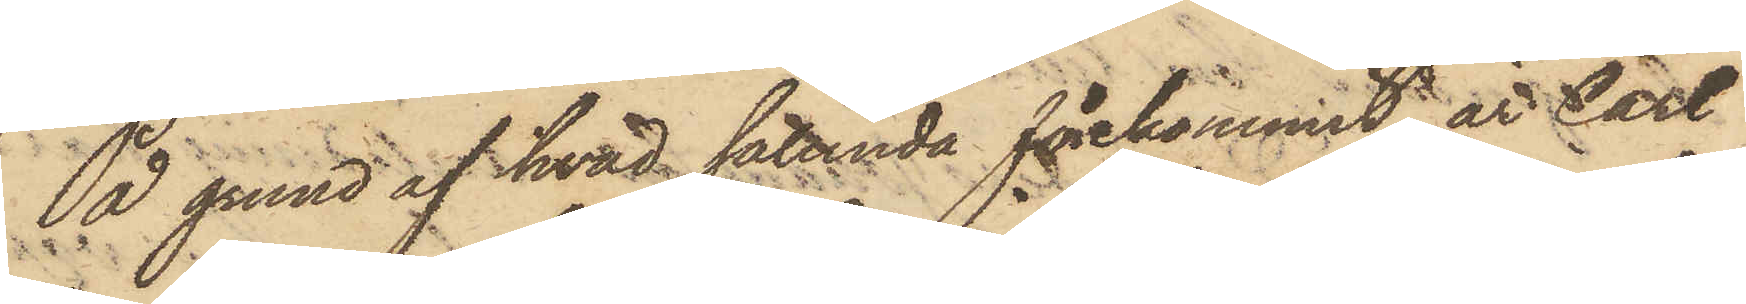På grund af hvad sålunda förekommit, är Carl
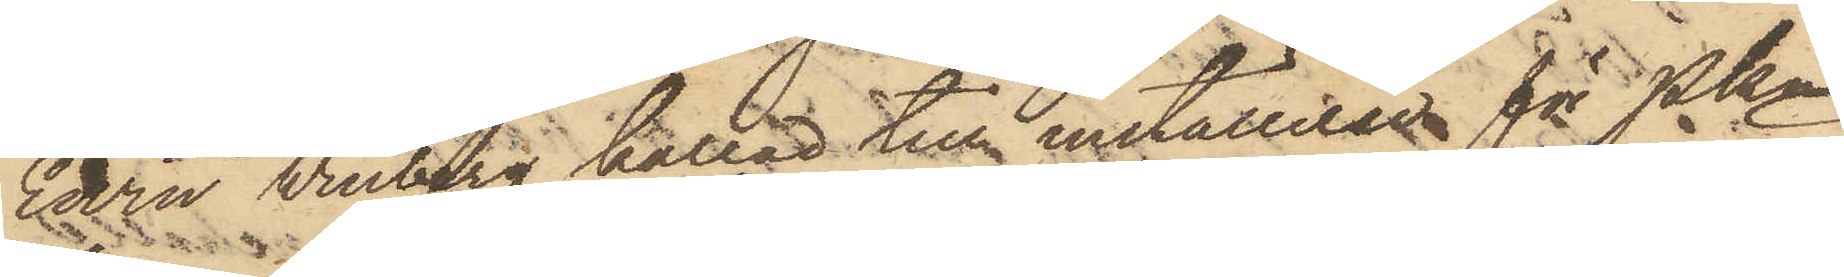Edvin Vinberg kallad till inställelse för PKn
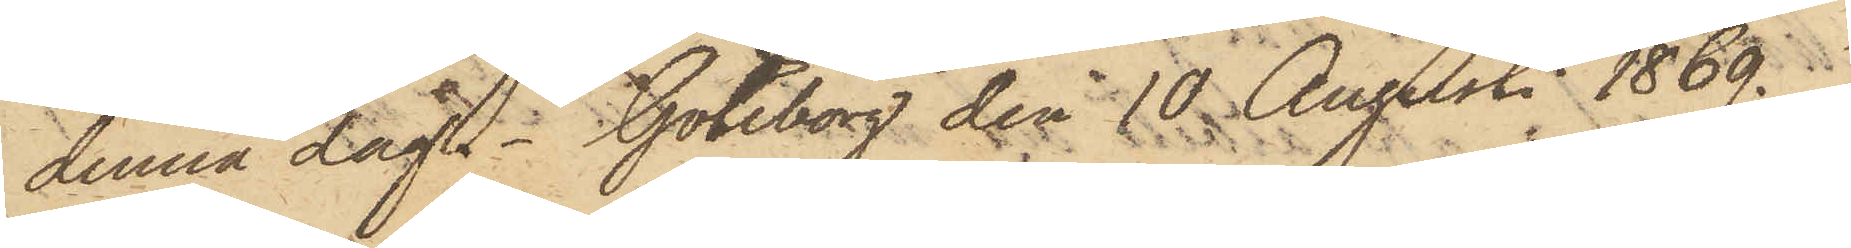denna dag. Göteborg den 10 Augusti 1869.
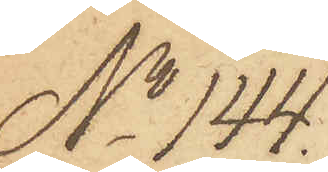No 144.
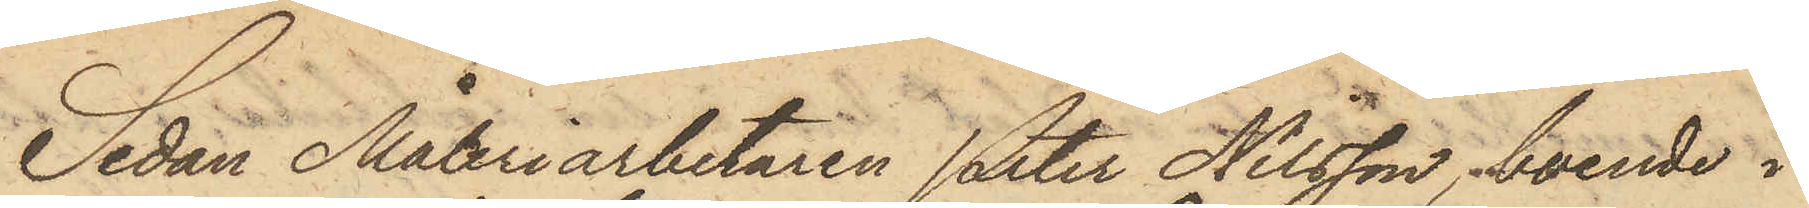Sedan Måleriarbetaren Peter Nilsson, boende i
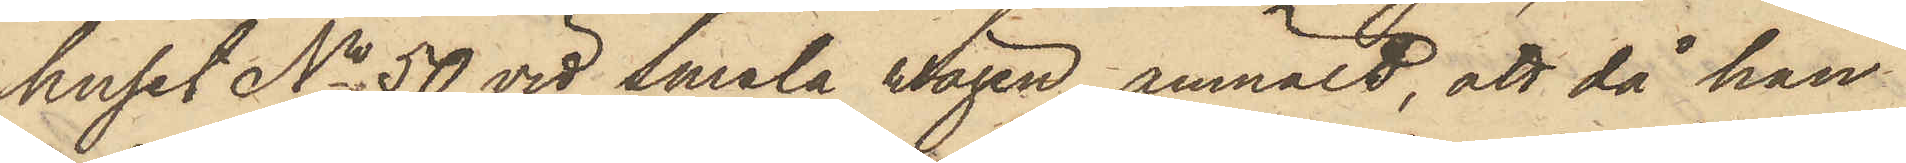huset No 50 vid Smala wägen, anmält, att då han
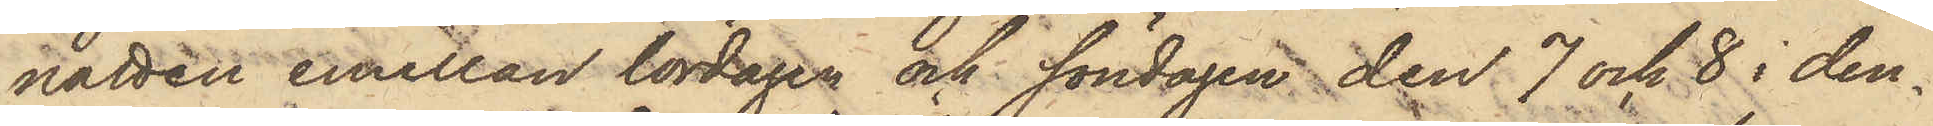natten emellan lördagen och söndagen den 7 och 8 i den¬
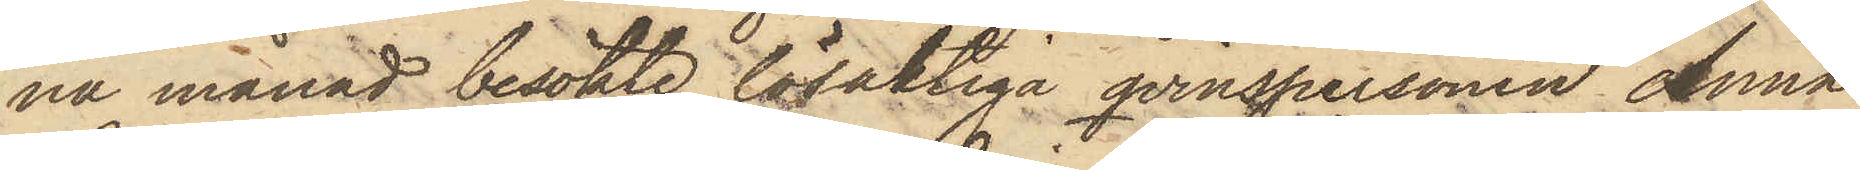na månad besökte lösaktiga qvinspersonen Anna
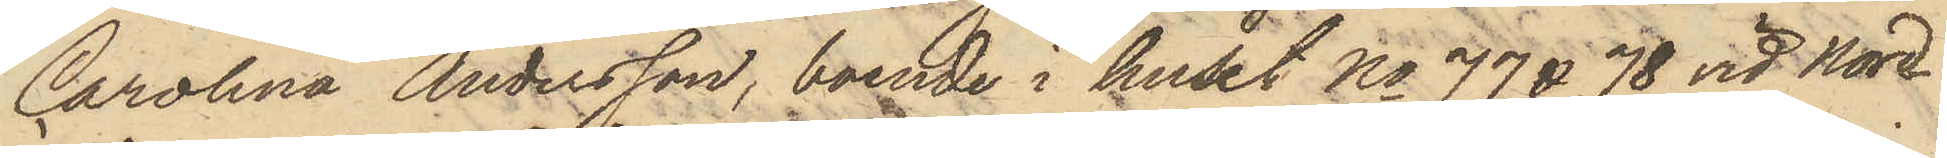Carolina Andersson, boende i huset No 77 & 78 vid Nord¬
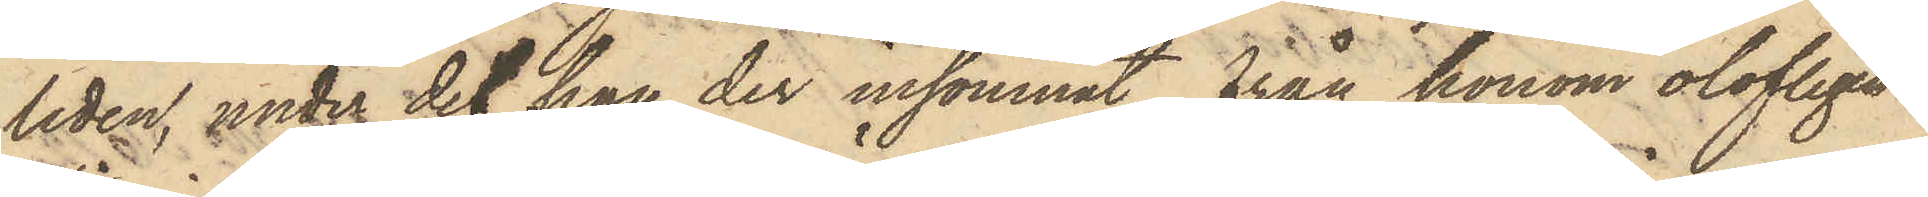liden, under det han der insomnat, från honom olofligen
